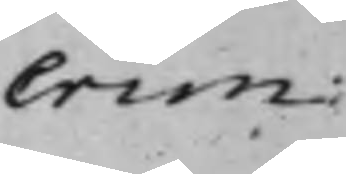Crim:
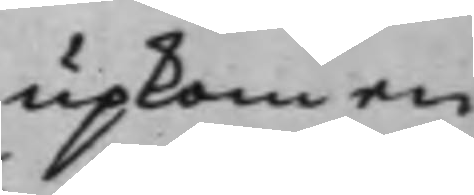upkom en
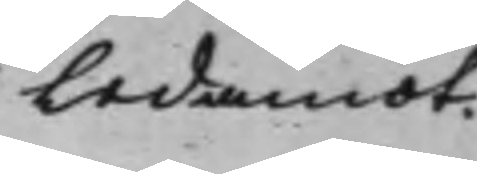Ledamot.
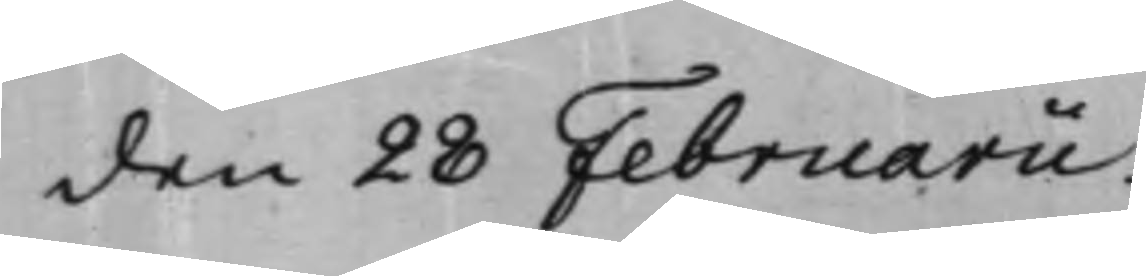den 28 Februarii.
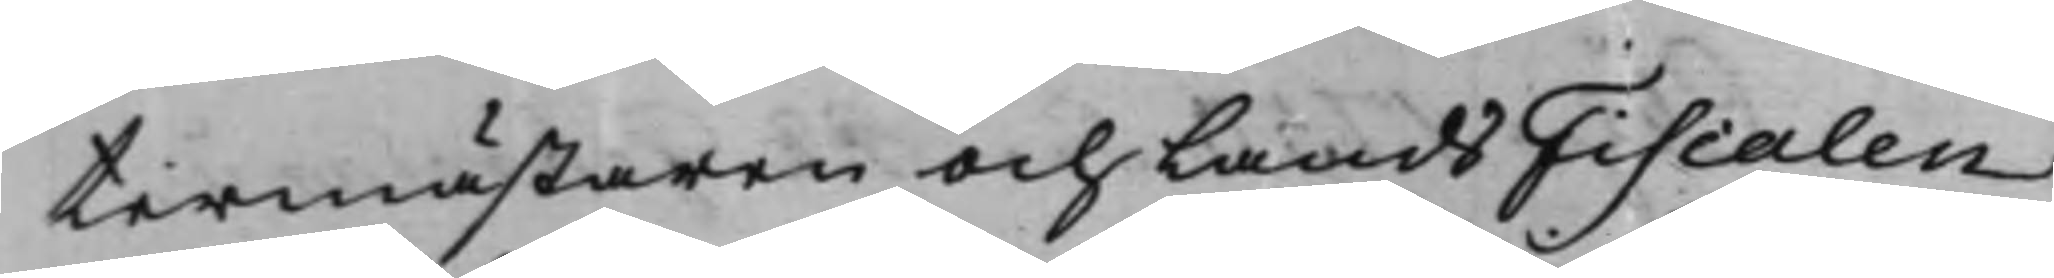termästaren och LandsFiscalen
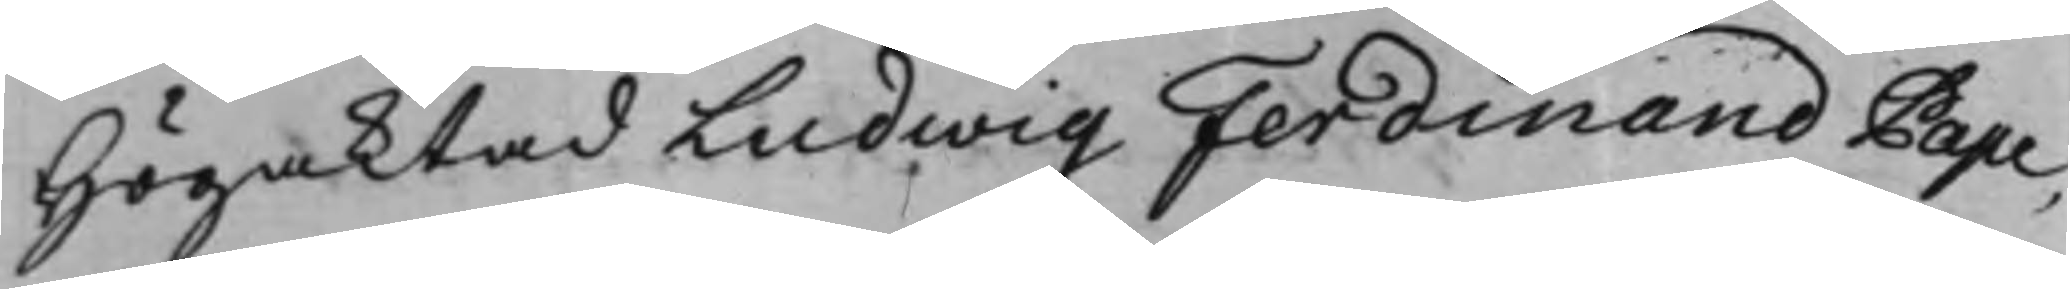Högaktad Ludwig Ferdinand Pape,
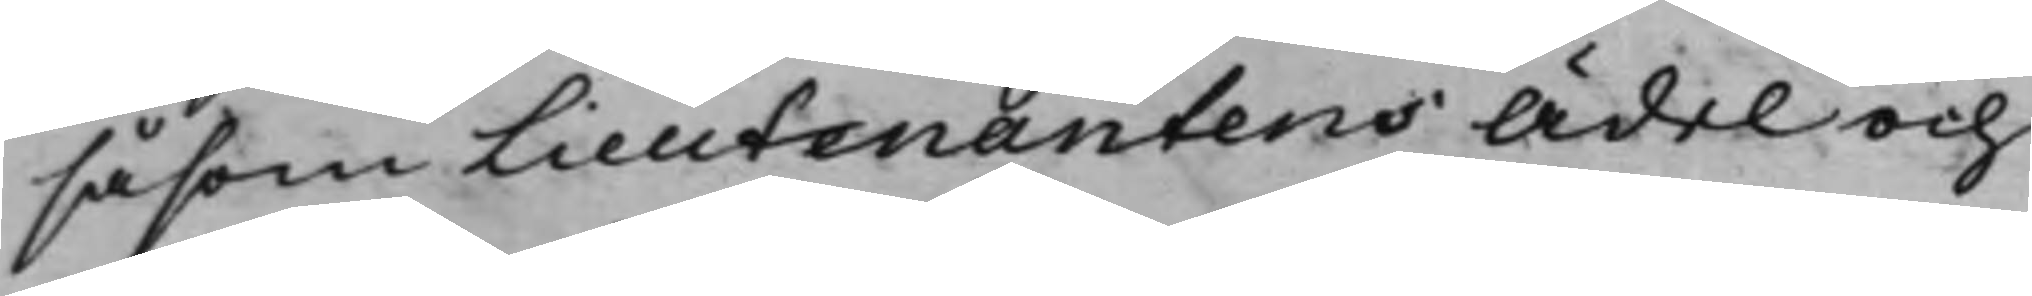såsom Lieutenantens Ädel och
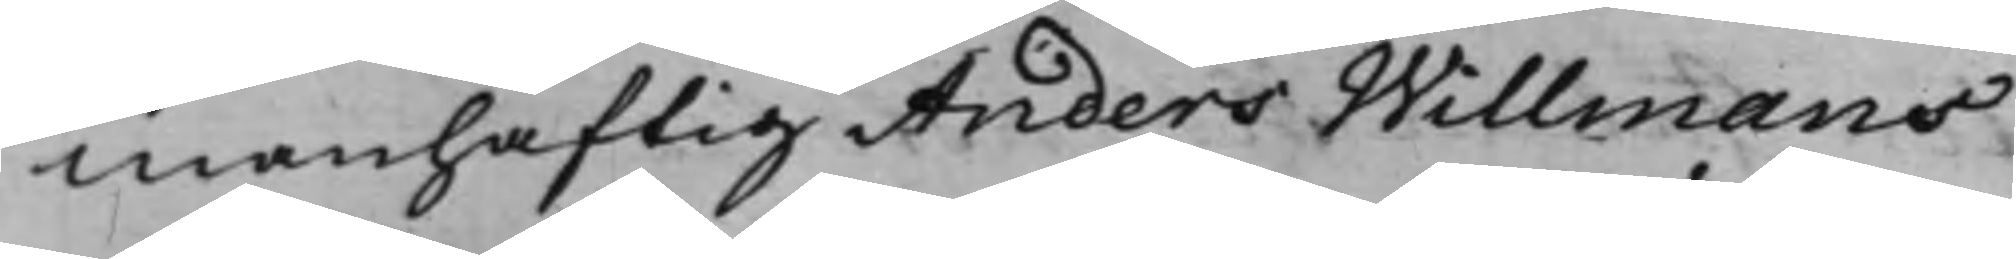manhaftig Anders Willmans
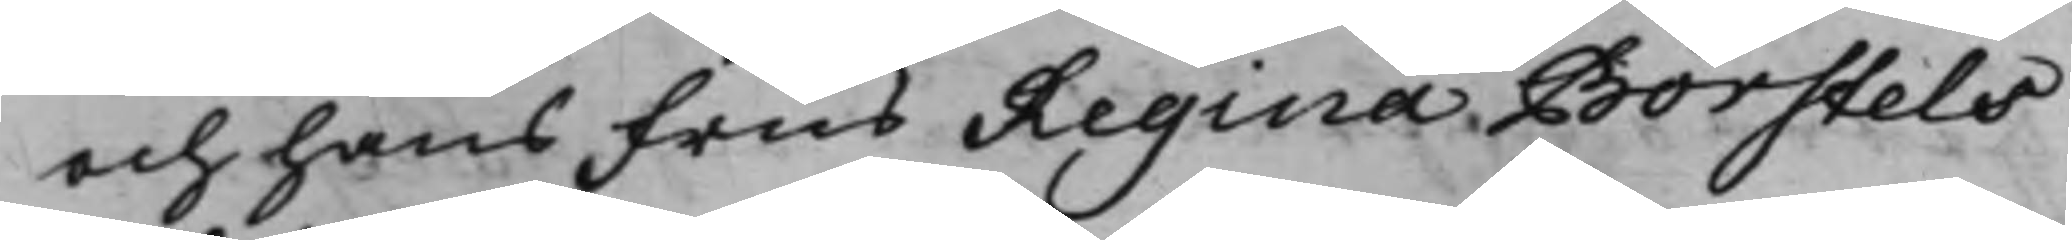och hans Frus Regina Börstels
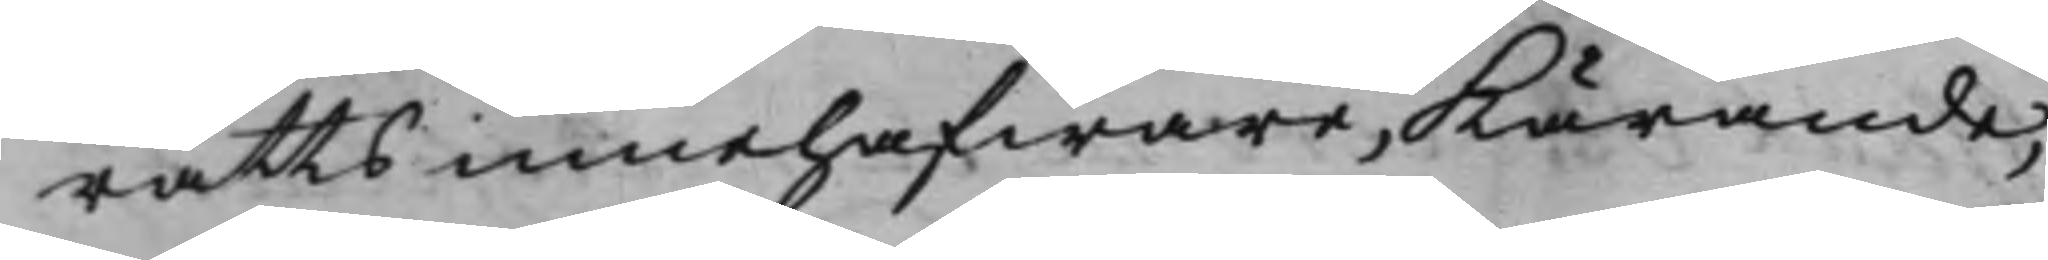rätts innehafware, Kärande,
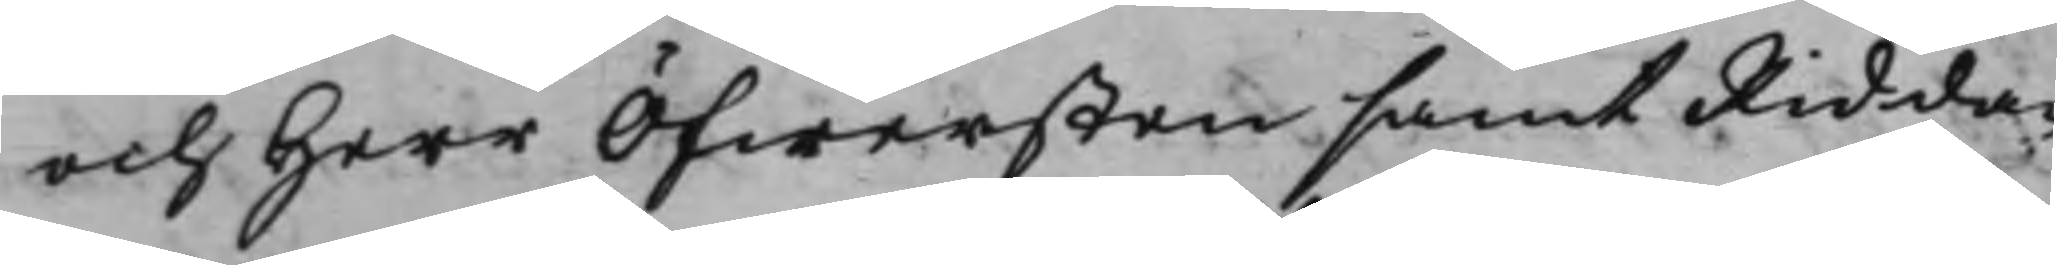och Herr Öfwersten samt Ridda¬
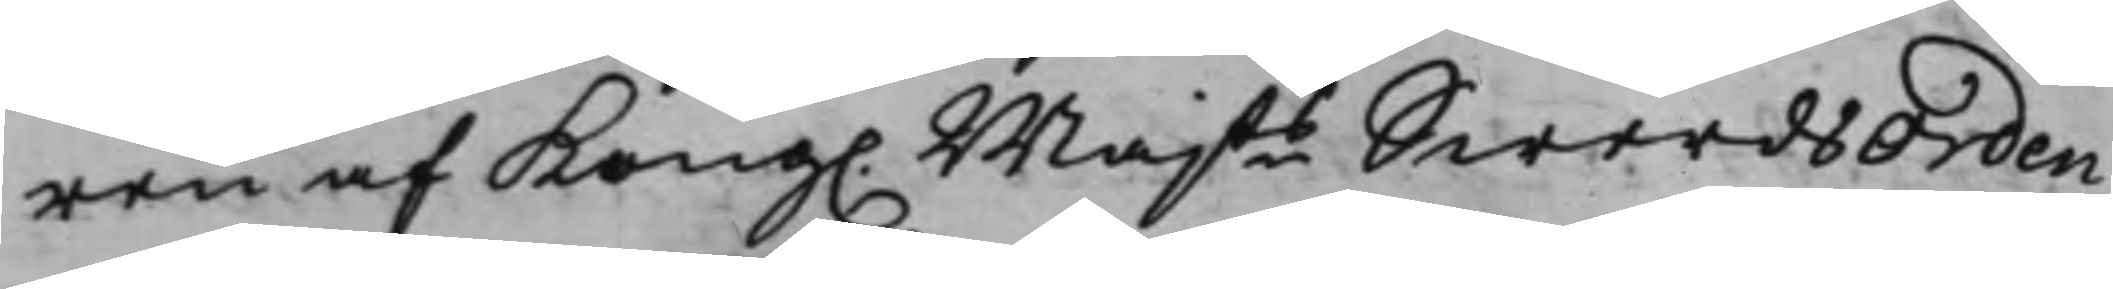ren af Kong. Majts SwerdsOrden
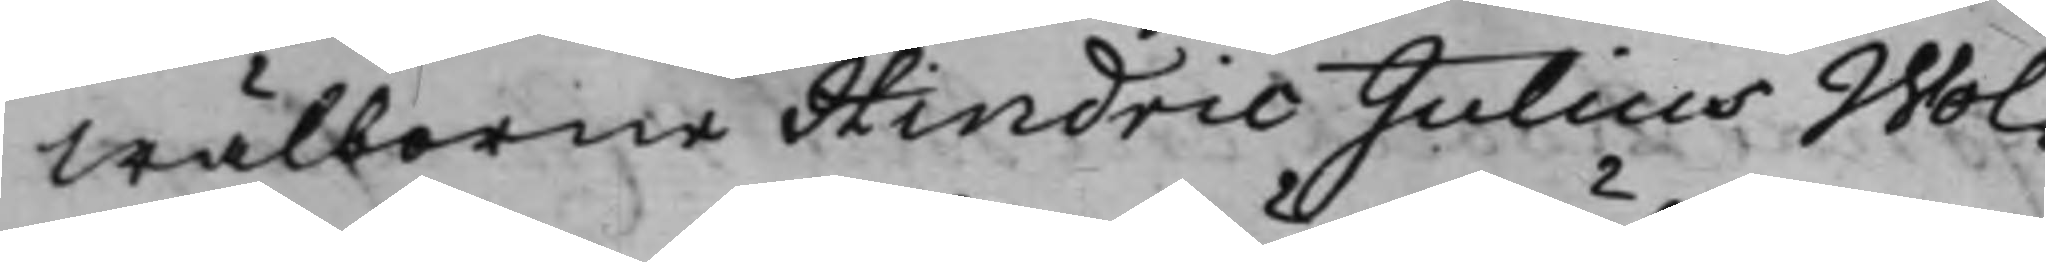Wälborne Hindric Julius Wol¬
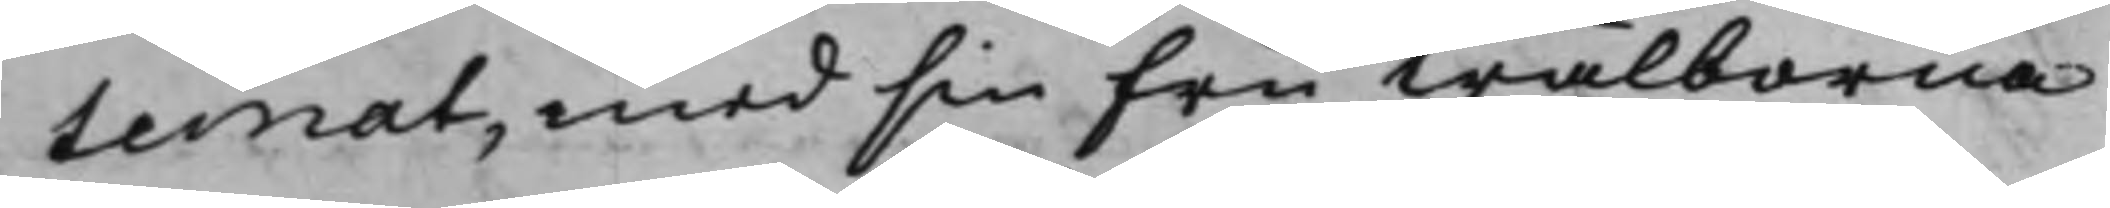temat, med sin Fru Wälborna
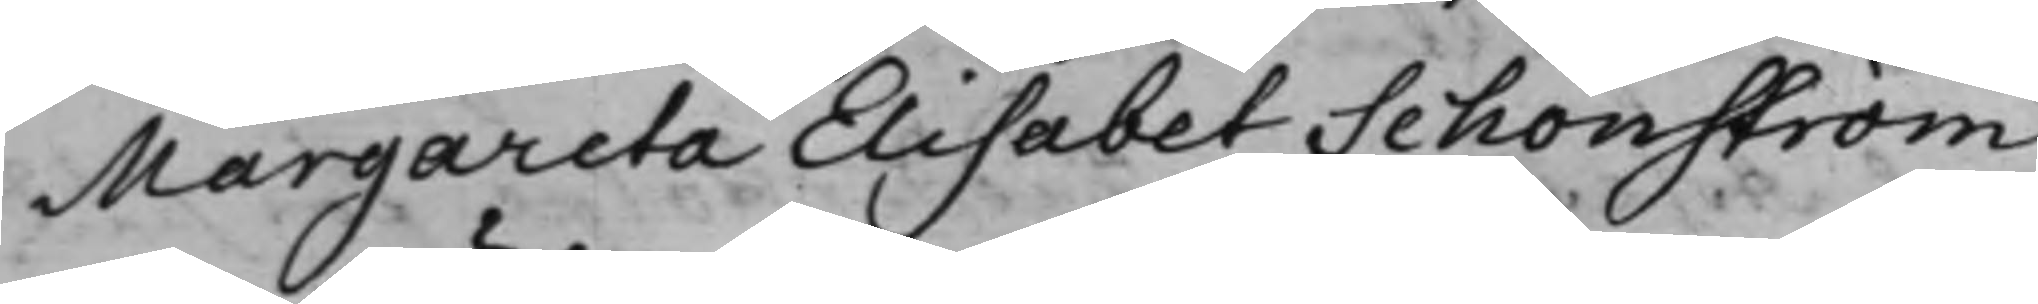Margareta Elisabet Schönström
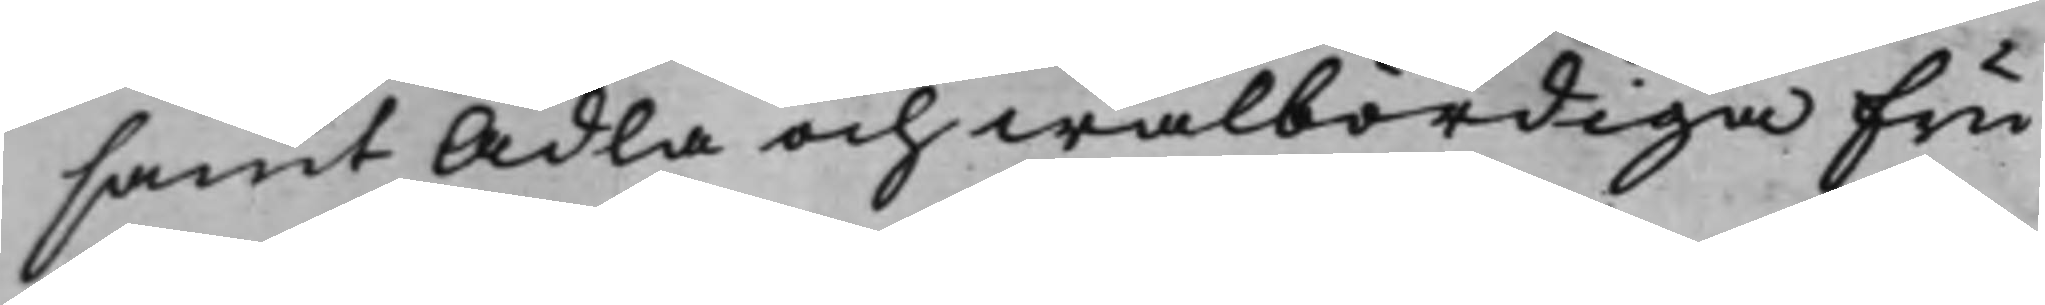samt Ädla och wälbördiga Fru
